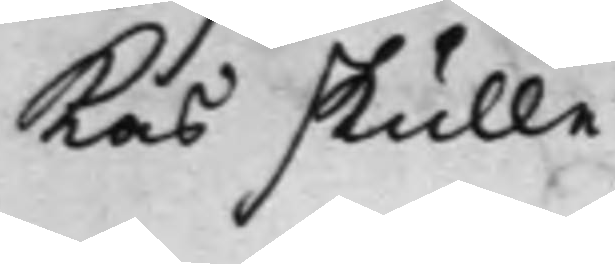Las skulle.
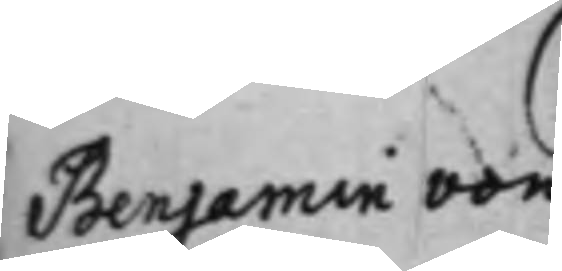Benjamin von
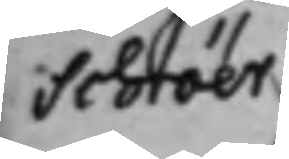Schröer
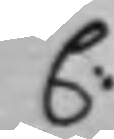C:
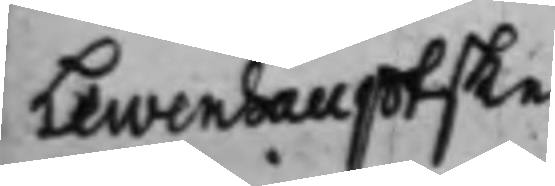Lewenhauptske
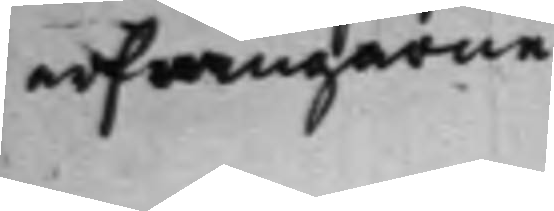arfwingarne
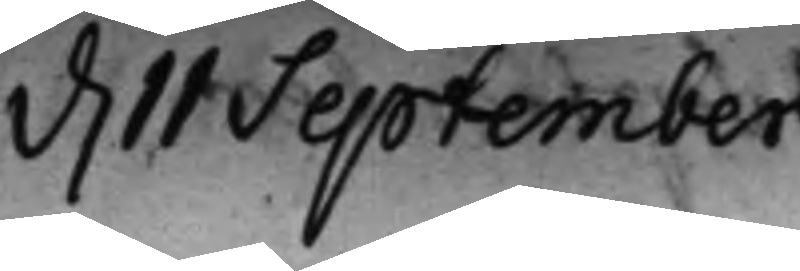d. 11 September
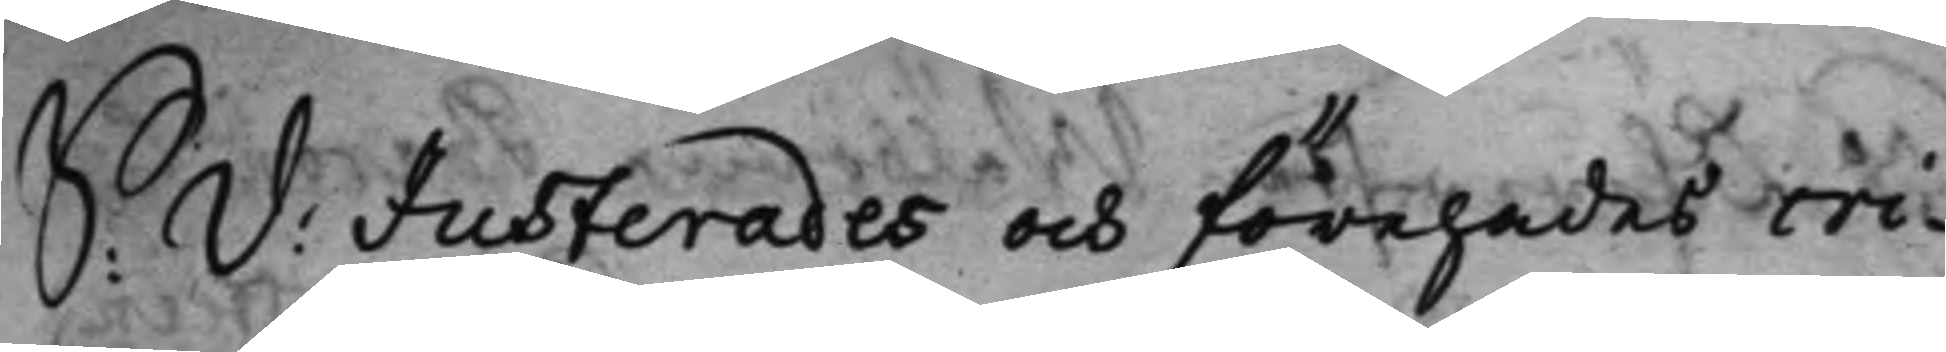S: D: Justerades och förehades cri¬
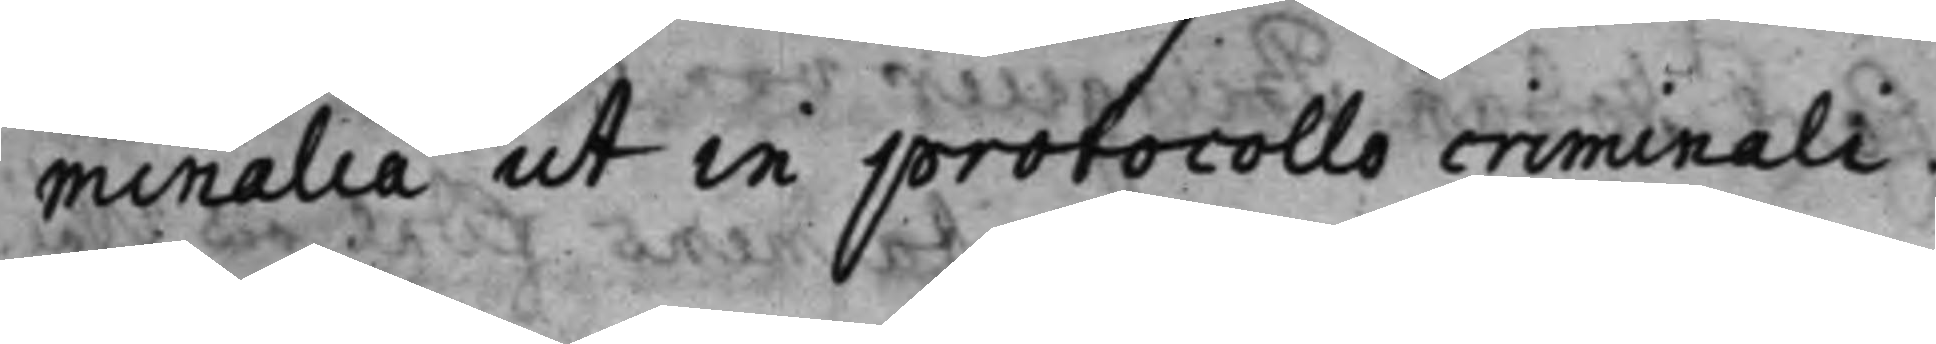minalia ut in protocollo criminali.
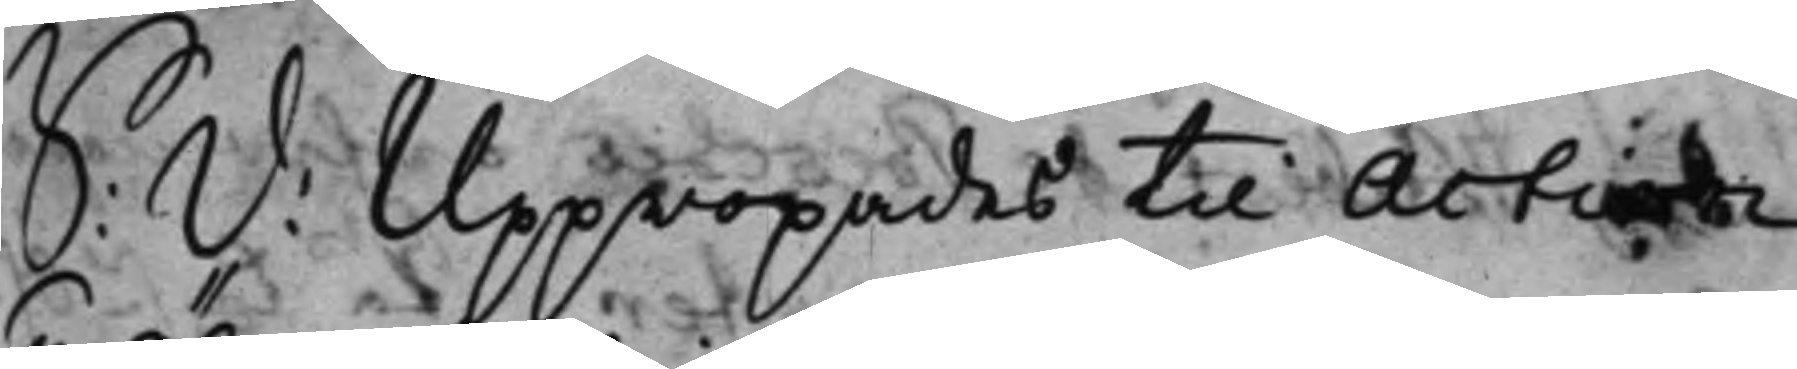S: D: Uppropades till Action
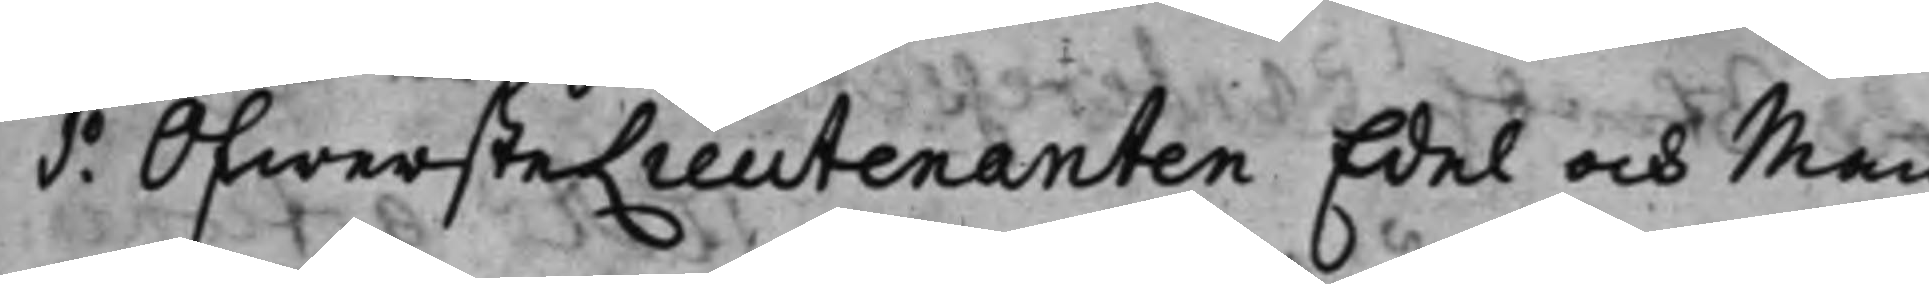1.o ÖfwersteLieutenanten Edel och Man¬
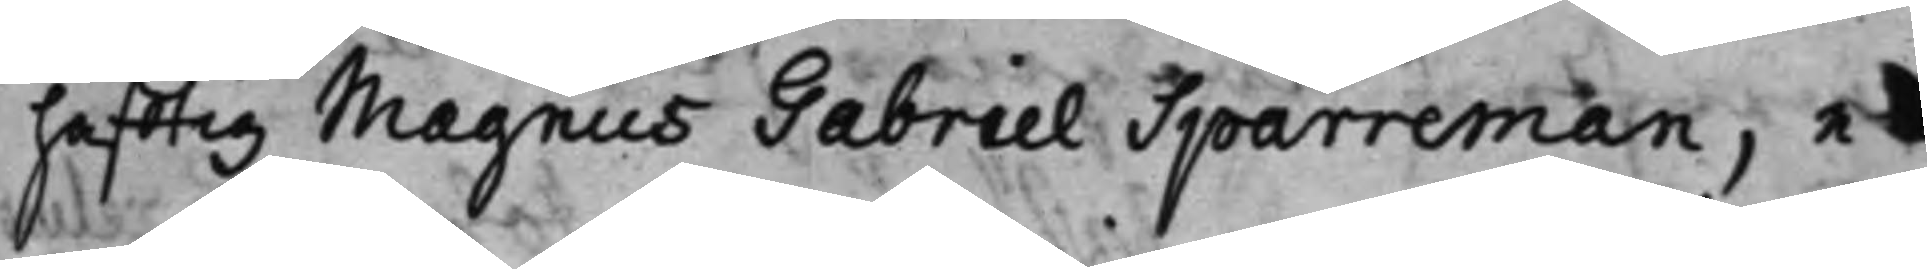hafftig Magnus Gabriel Sparreman, e¬
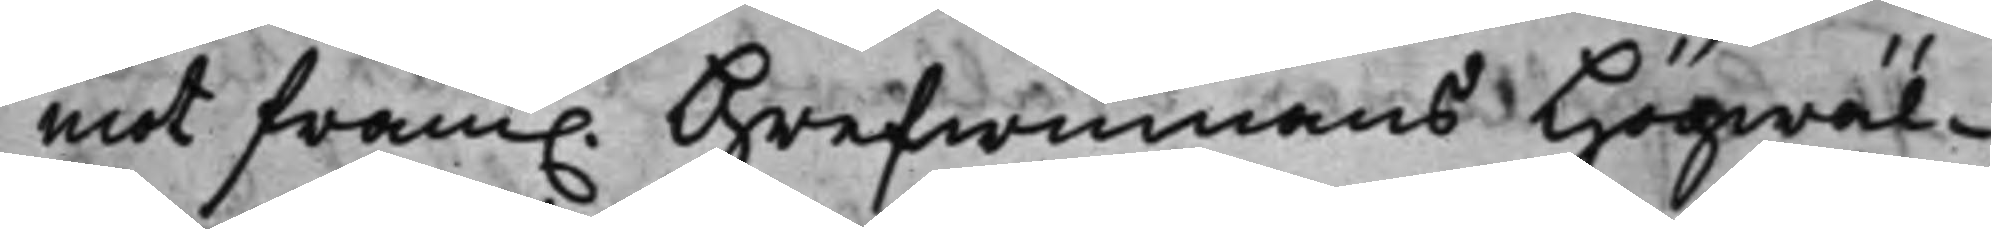mot fram. Grefwinnans Högwäl¬
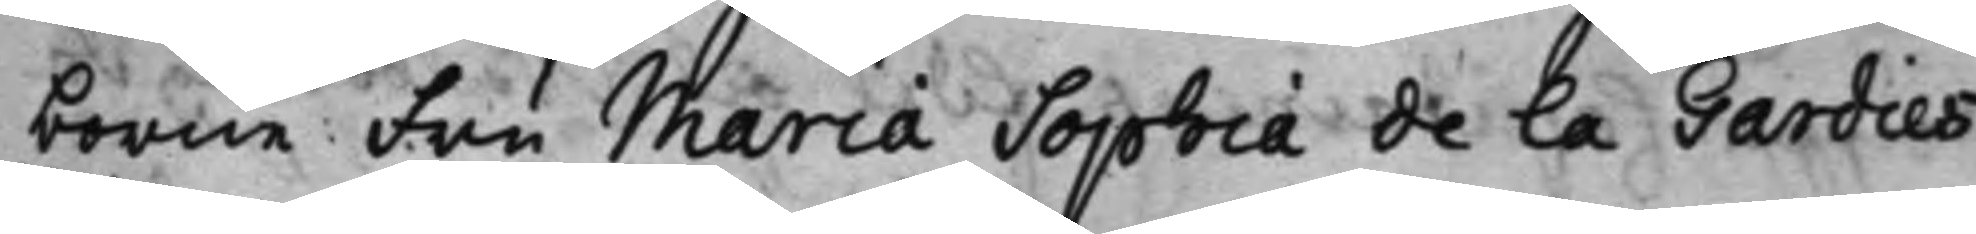borne Fru Maria Sophia de La Gardies
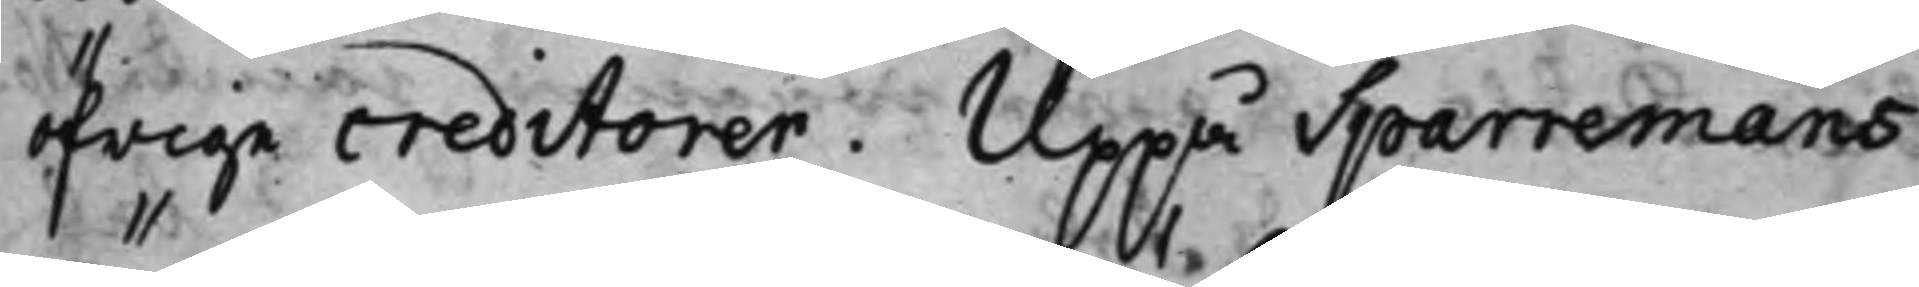öfrige creditorer. Uppå Sparremans
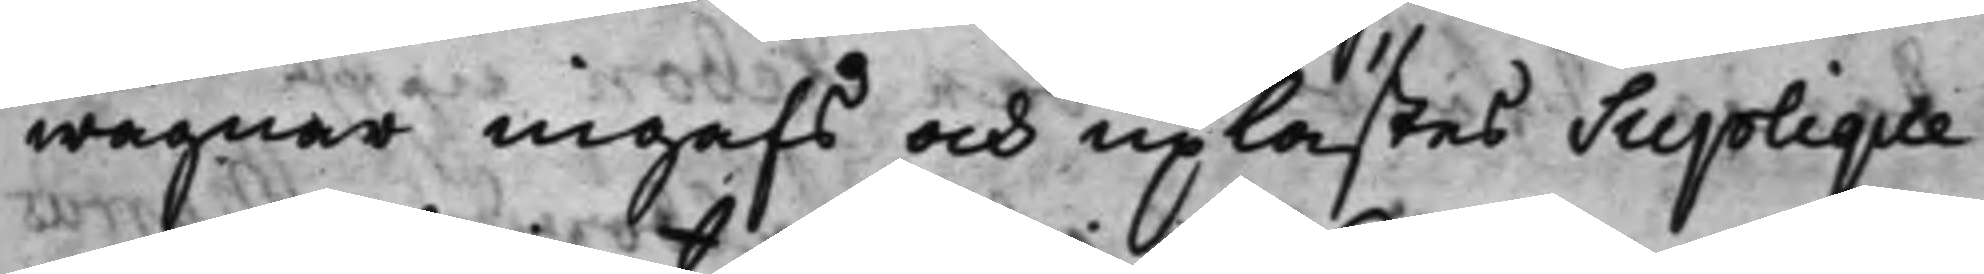wägnar ingafs och uplästes Suplique
